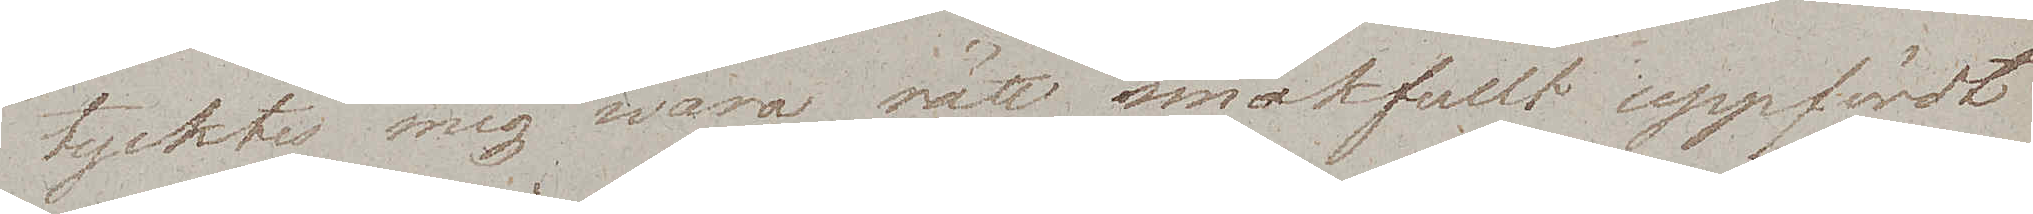tycktes mig wara rätt smakfullt uppfördt
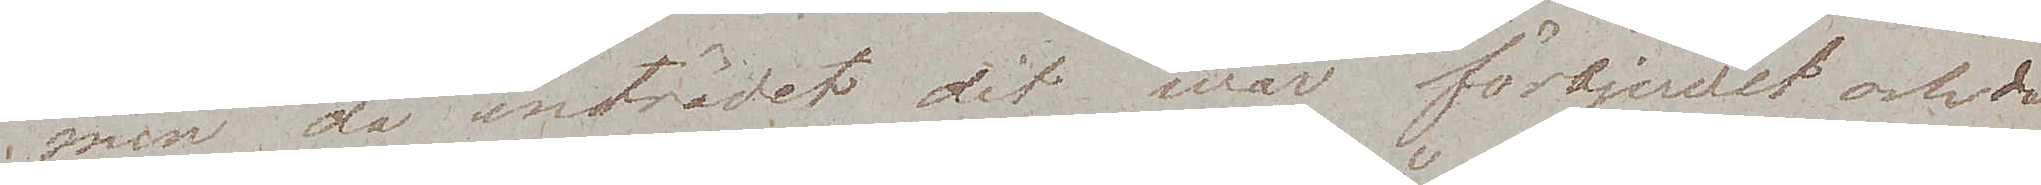men då inträdet dit war förbjudet och då
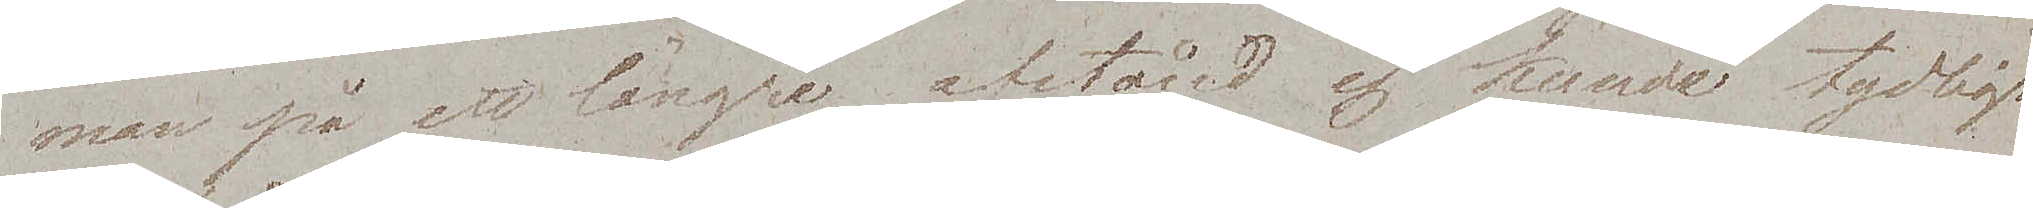man på ett längre afstånd ej kunde tydligt
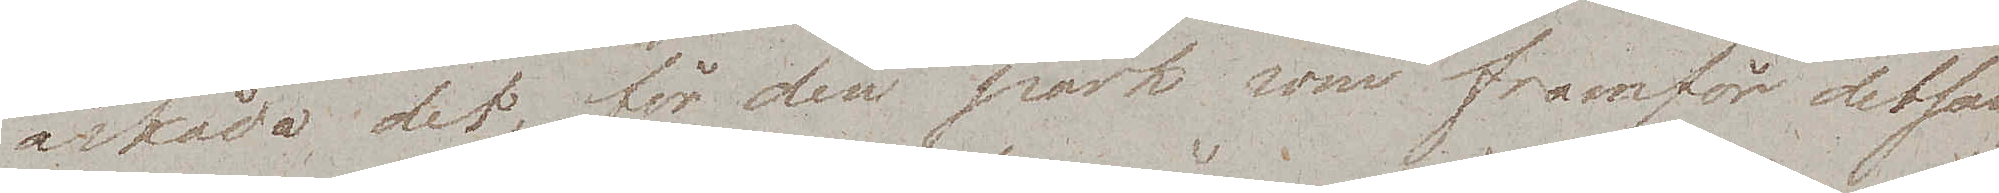åskåda det för den park som framför detsam¬
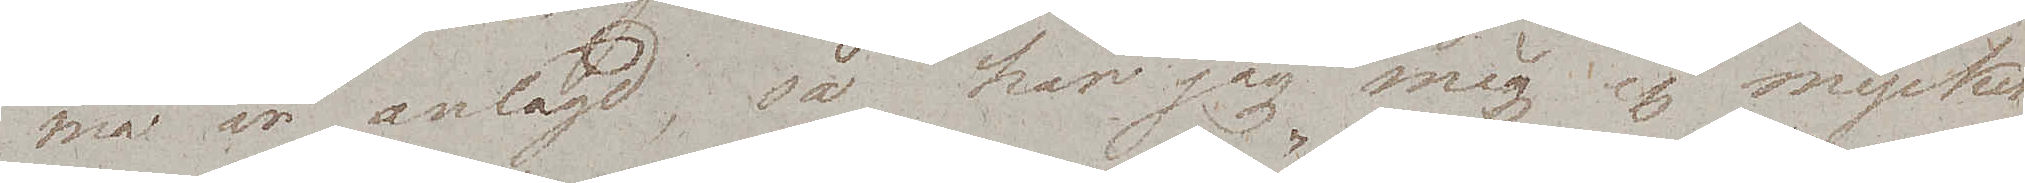ma är anlagd, så har jag mig ej mycket
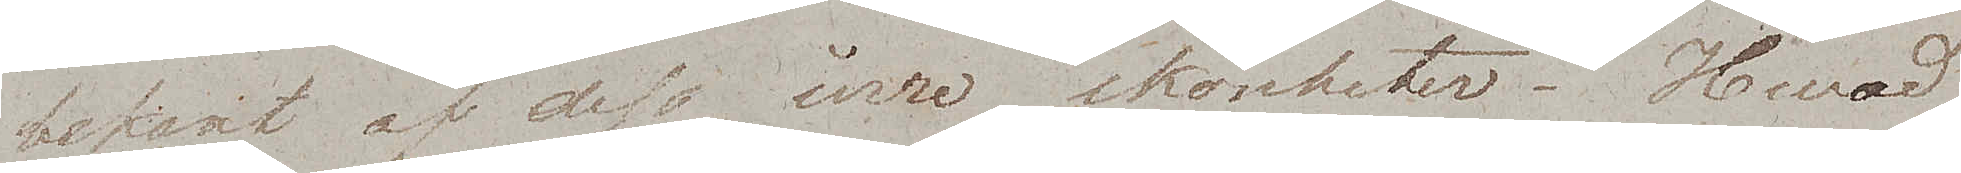bekant af dess inre skönheter. Hwad
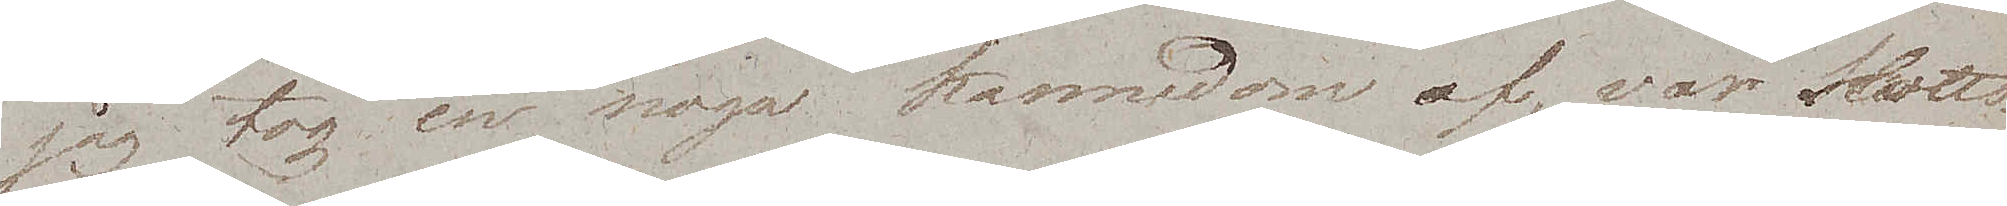jag tog en noga kännedom af, var slotts¬
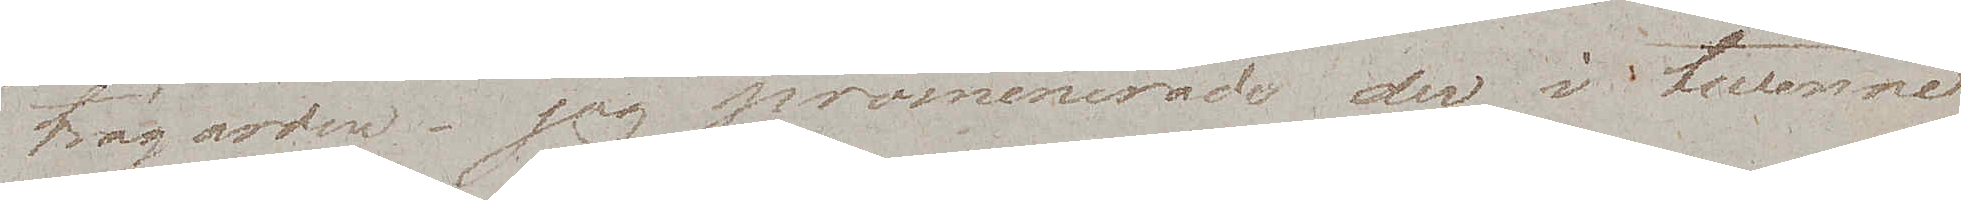trägården – jag promenerade der i twenne
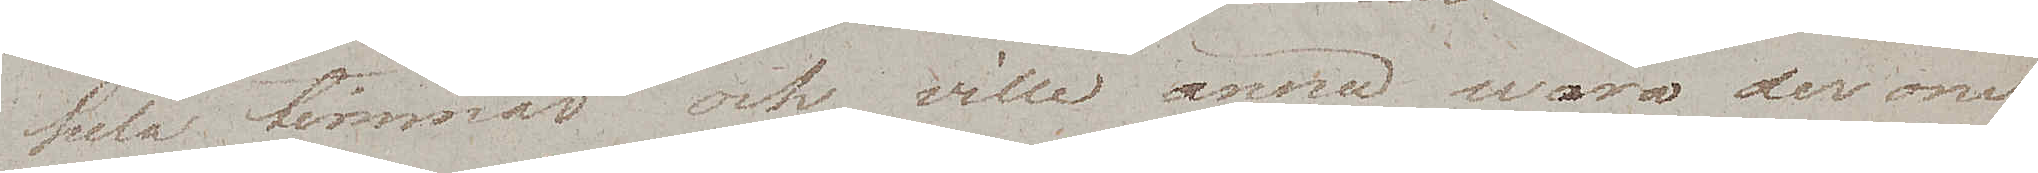hela timmar och ville ännu wara der om
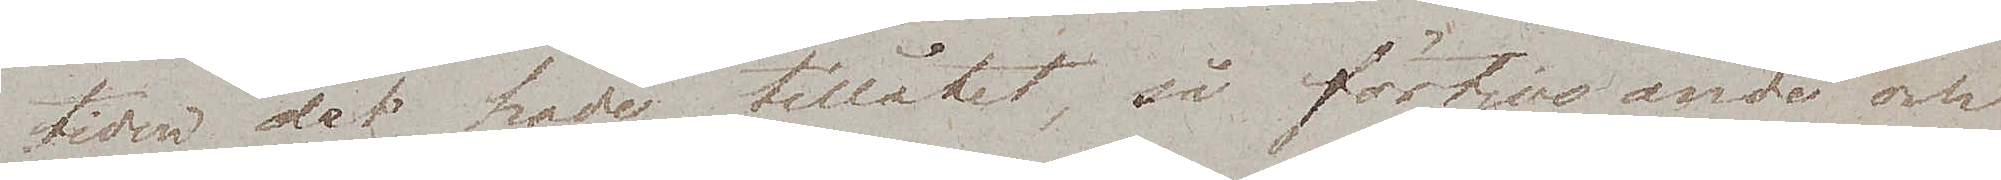tiden det hade tillåtet, så förtjusande och
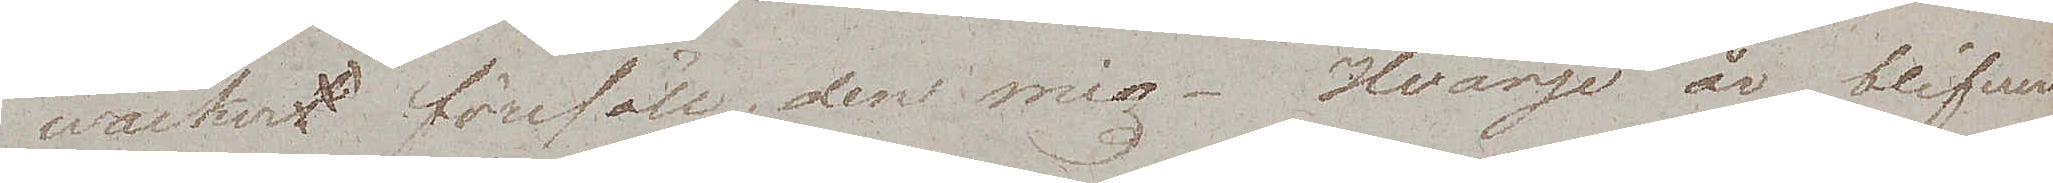wackert föreföll den mig. Hvarje år blifver
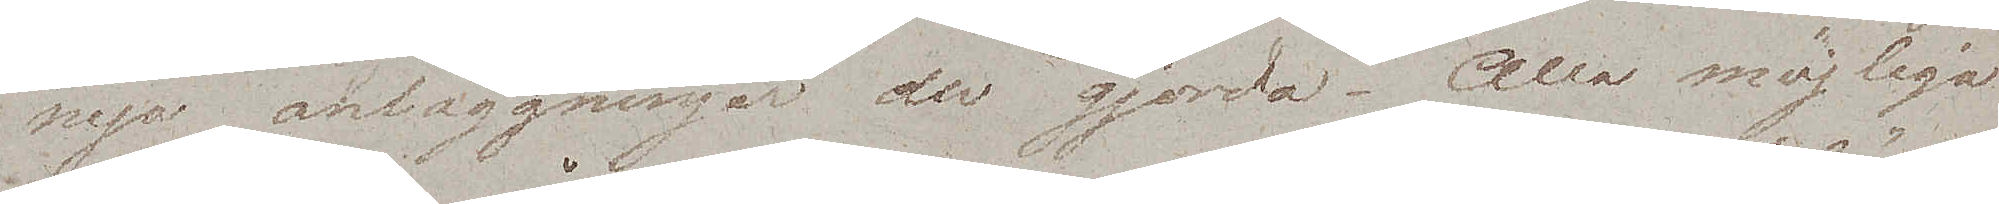nya anläggningar der gjorda. Alla möjliga
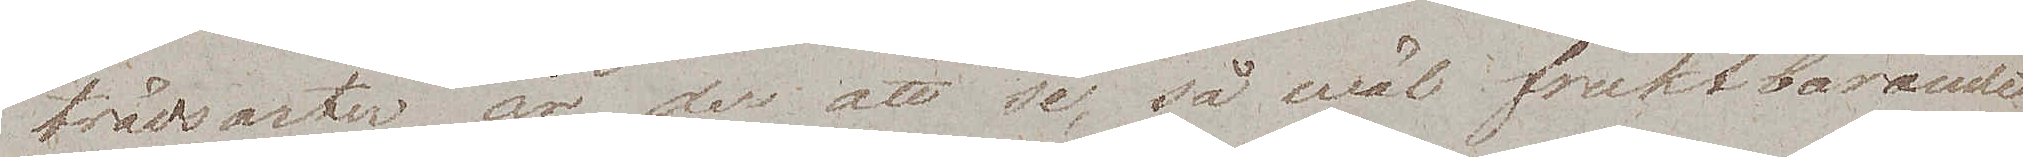trädsorter är der att se, så wäl fruktbärande
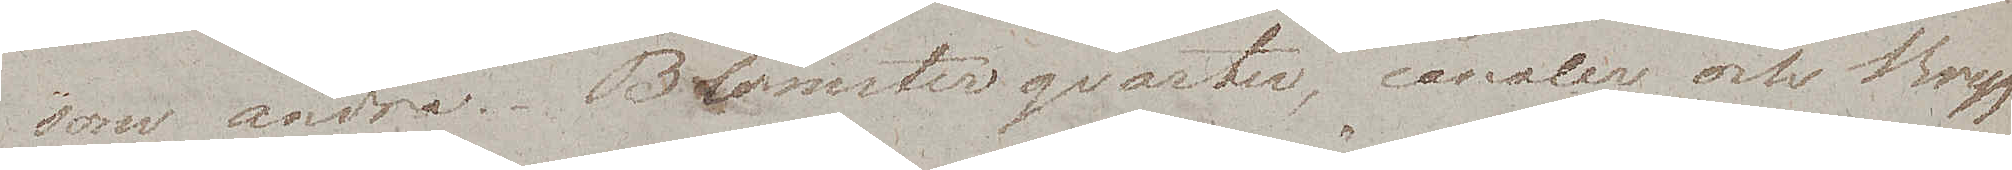som andra. Blomsterqvarter, canaler och Bryg¬
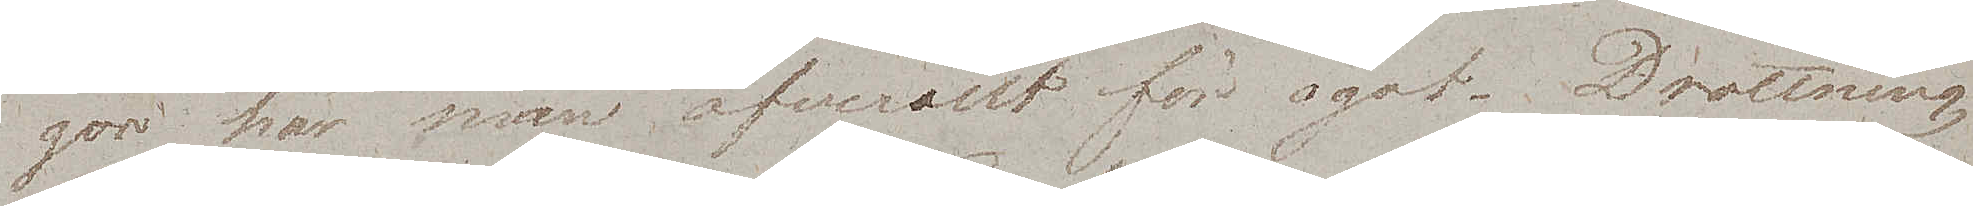gor har man öfverallt för ögat. Drottning
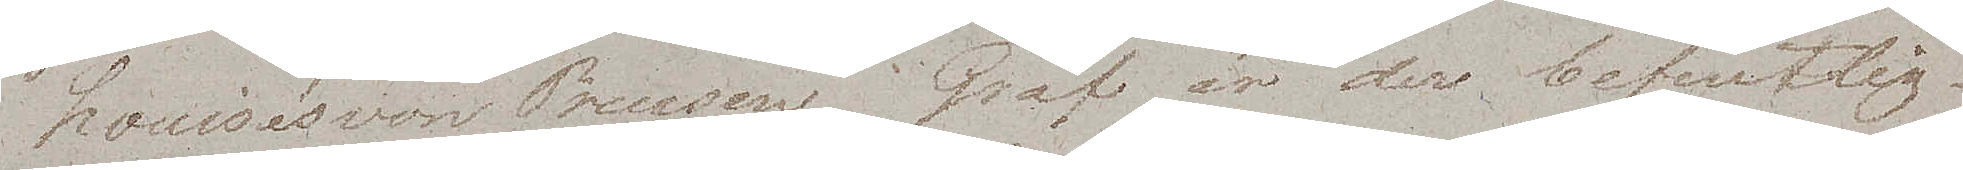Louise's son Prinsens Graf är der befintlig
